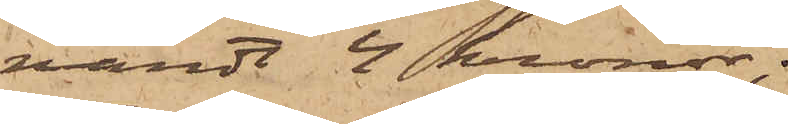värdt 2 kronor;
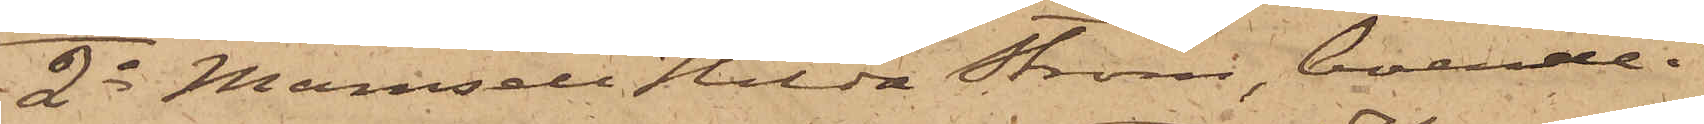2o Mamsell Hilda Ström, boende i
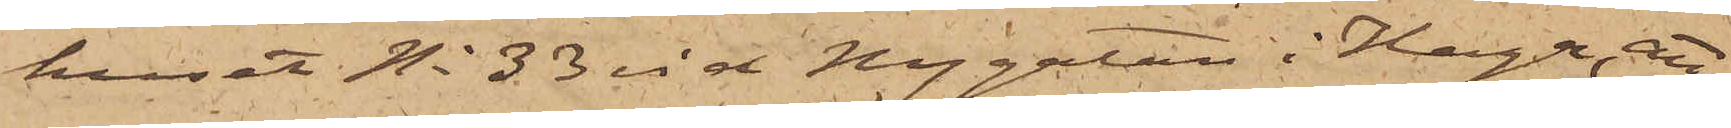huset No 33 vid Nygatan i Haga, att
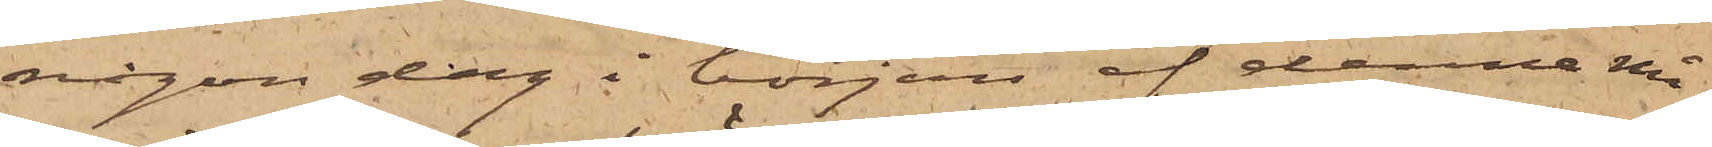någon dag i början af denna må¬
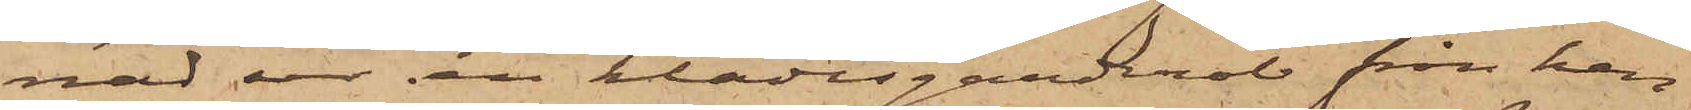nad ur en klädesgarderob från hen¬
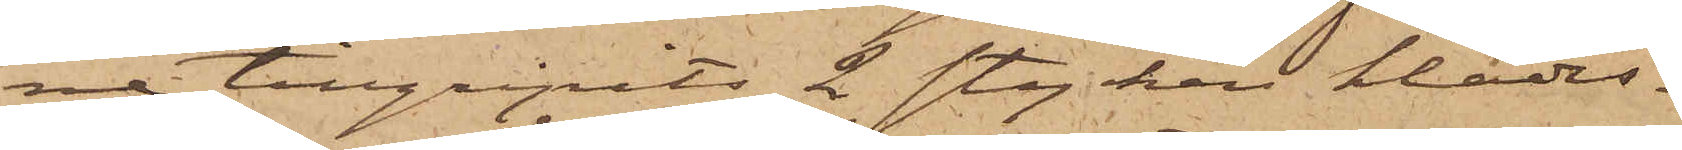ne tillgripits 2 stycken klädes¬
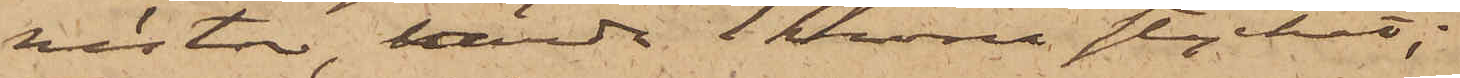västar, värda 1 krona stycket;
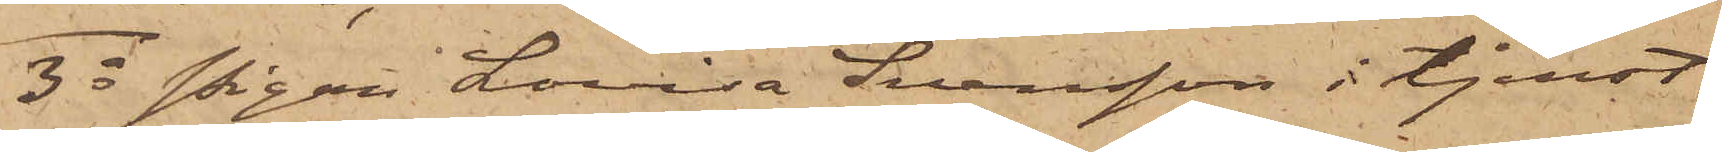3o Pigan Lovisa Svensson i tjenst
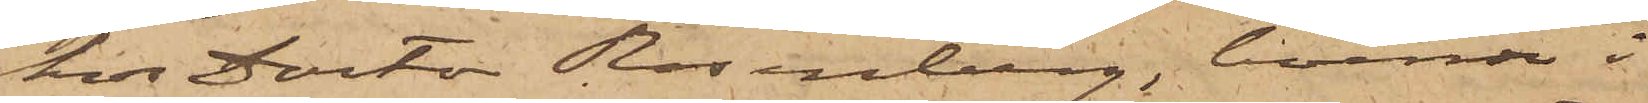hos Doctor Rosenberg, boende i
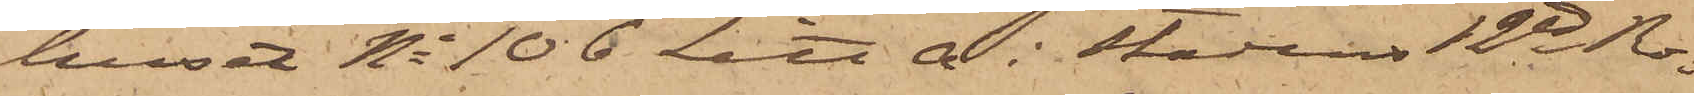huset No 106 Litt A i Stadens 12te Ro¬
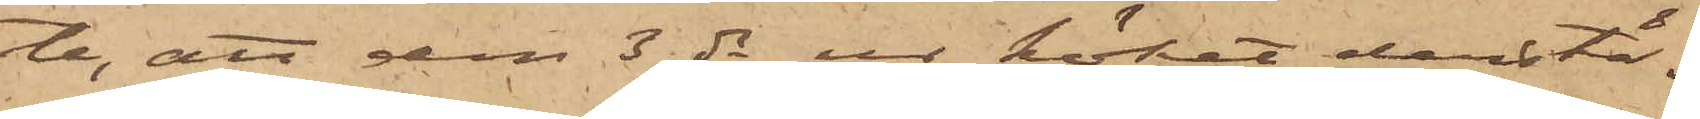te, att den 3 ds ur köket derstä¬
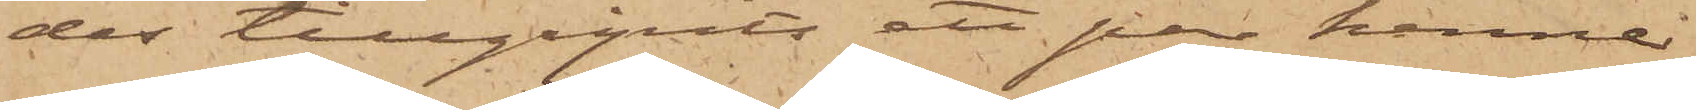des tillgripits ett par henne
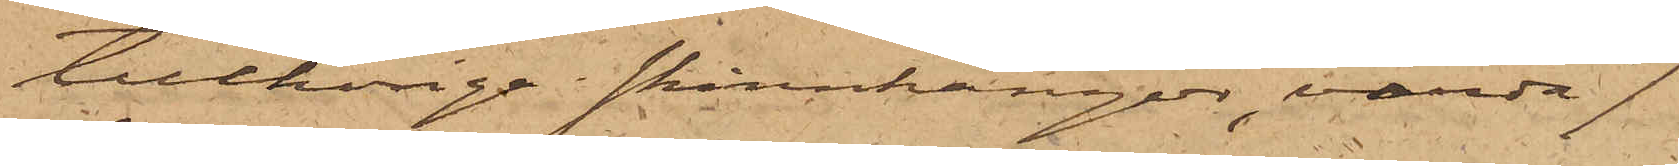tillhörige skinnkängor, värda 7
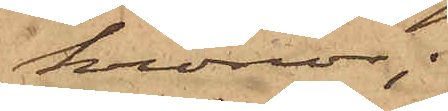kronor;
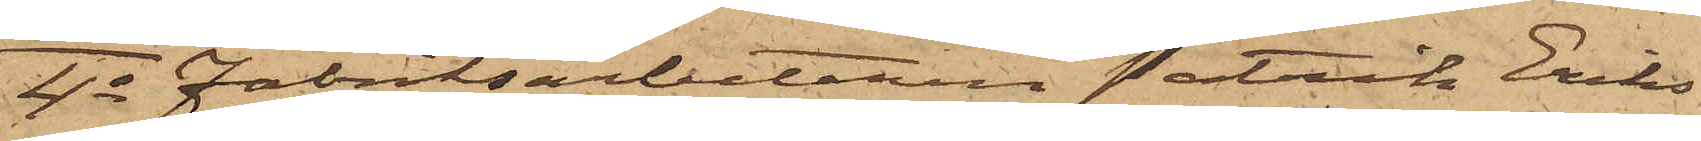4o Fabriksarbetaren Patrik Eriks¬
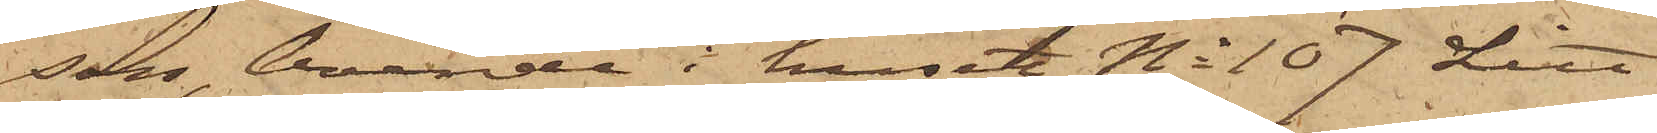son, boende i huset No 107 Litt
